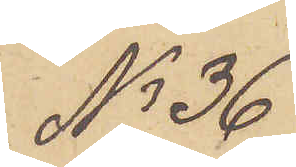No 36
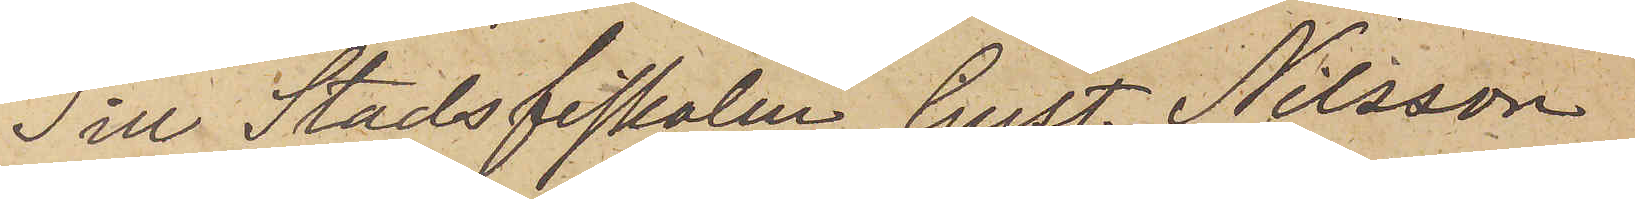Till Stadsfiskalen Gust. Nilsson
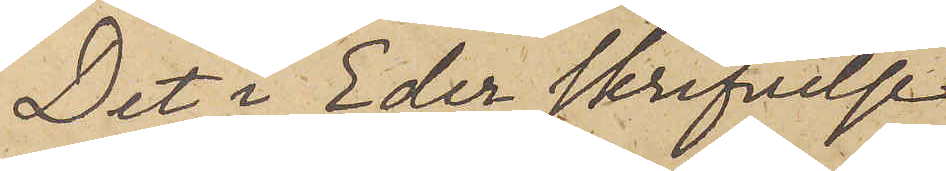Det i Eder skrifvelse
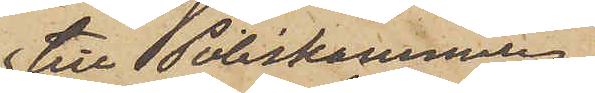till Poliskammaren
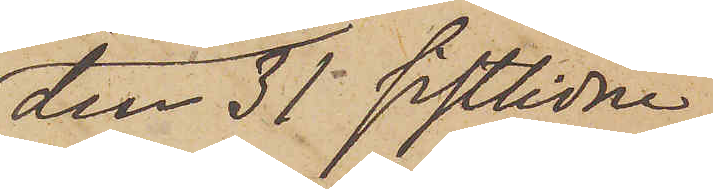den 31 sistlidne
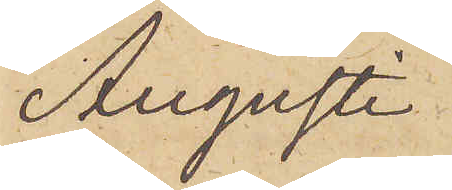Augusti
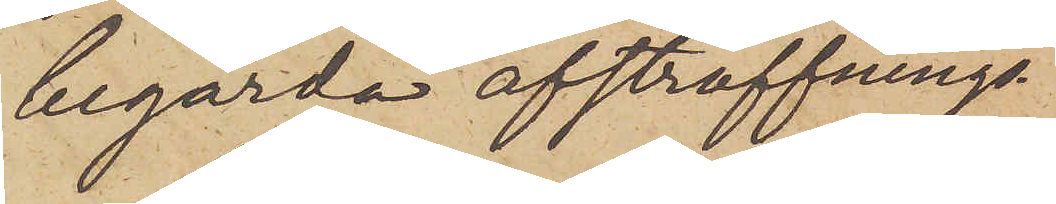begärda afstraffnings¬
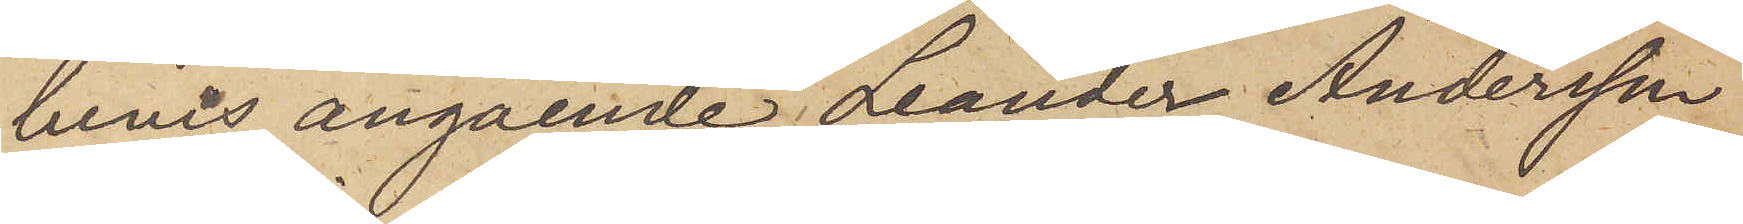bevis angående Leander Andersson
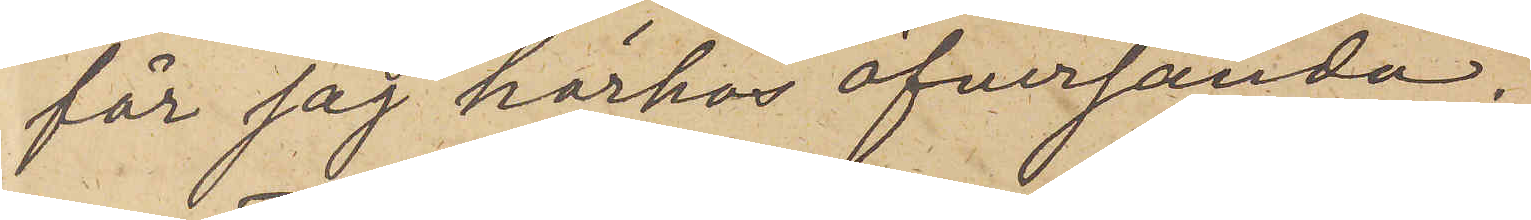får jag härhos öfversända,
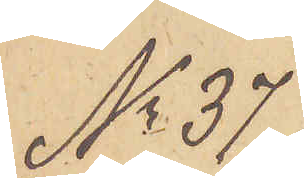No 37.
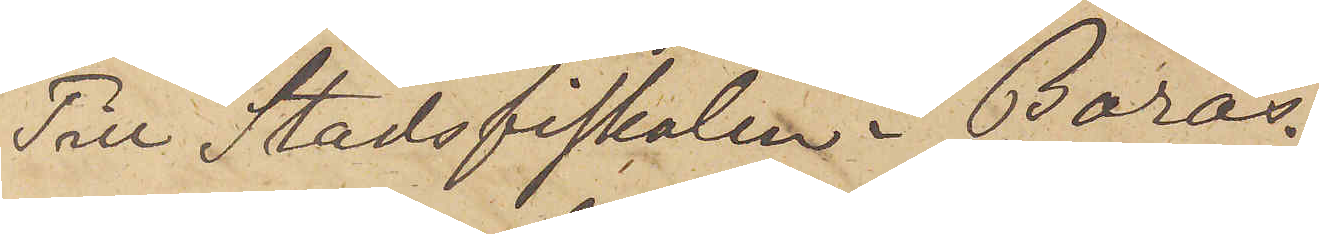Till Stadsfiskalen i Borås
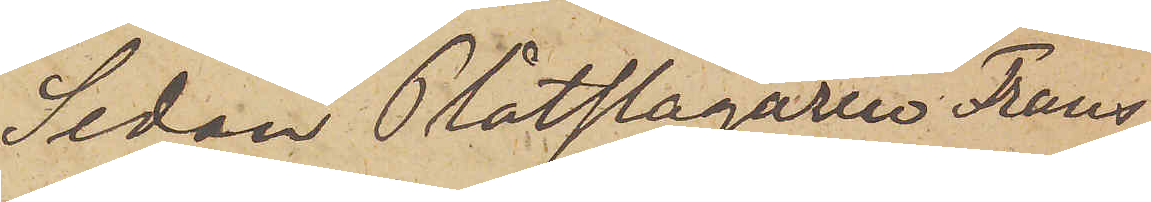Sedan Plåtslagaren Frans
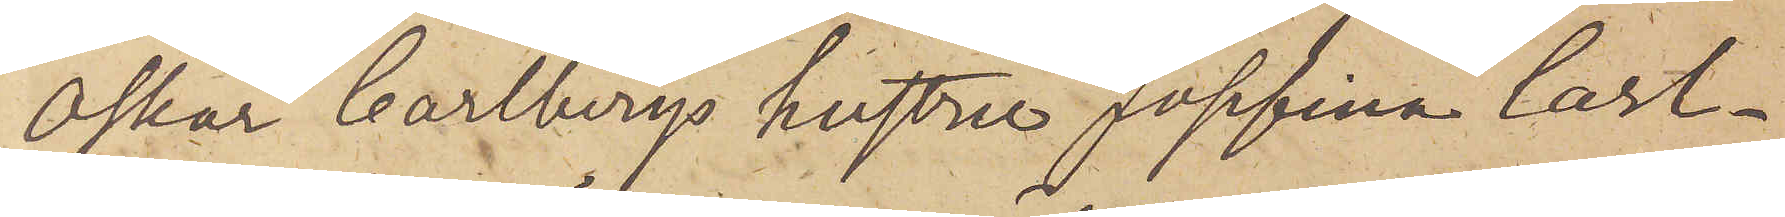Oskar Carlbergs hustru Josefina Carl¬
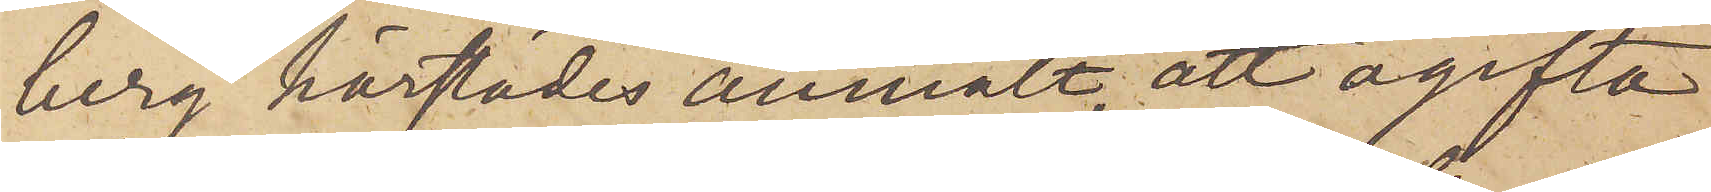berg härstädes anmält, att ogifta
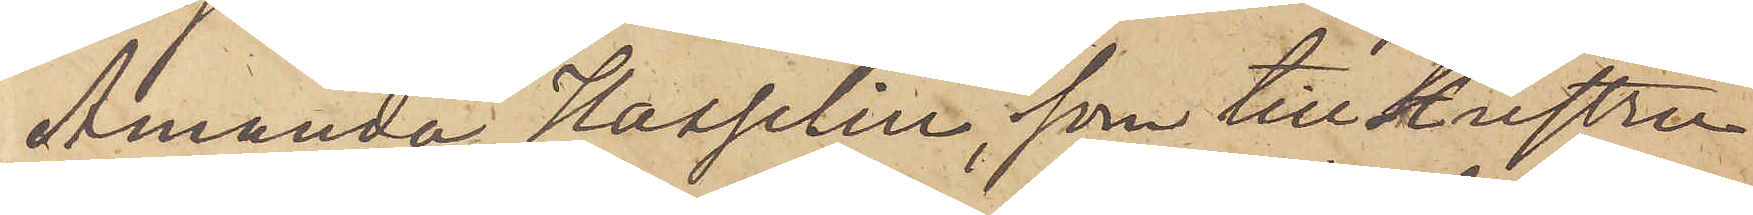Amanda Hasselin, som till Hustru
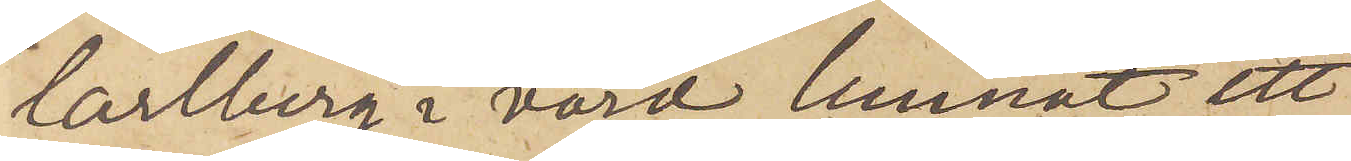Carlberg i vård lemnat ett
